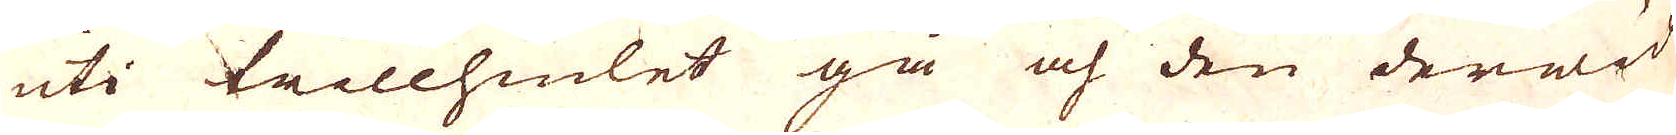uti trillhiulet gå och den derwid
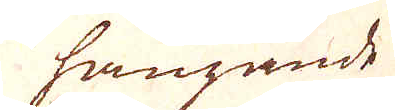hängande
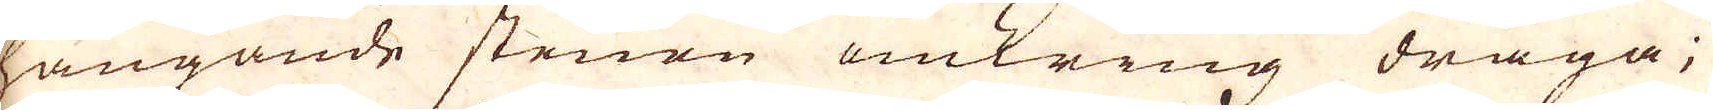hängande stenen omkring draga;
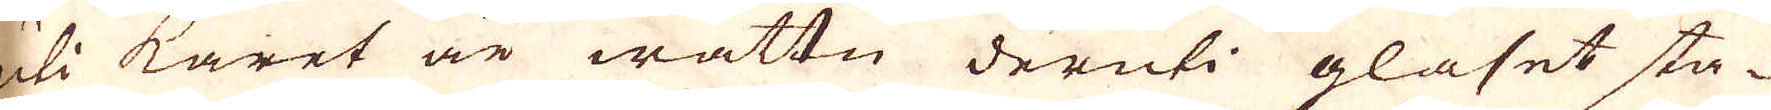uti karet är wattn deruti glaset sta-
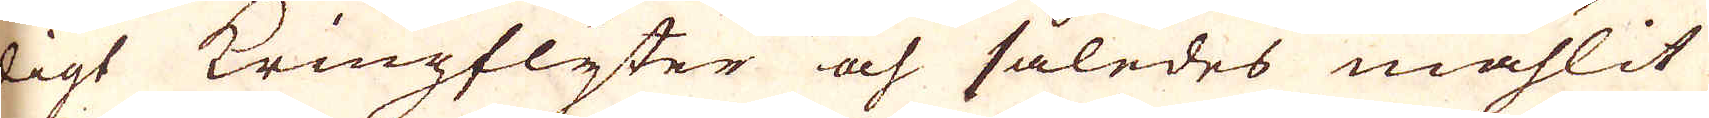digt Kringflyter och således mahlit
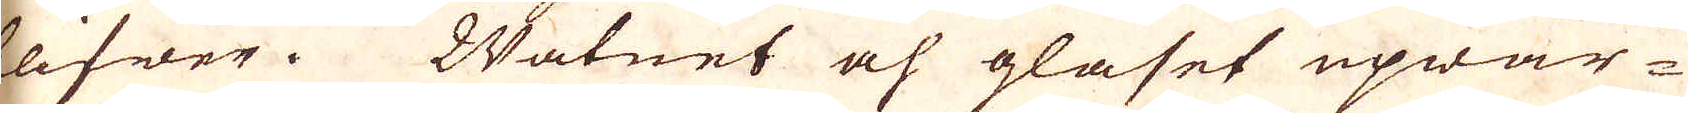blifwer. Watnet och glaset upwär-
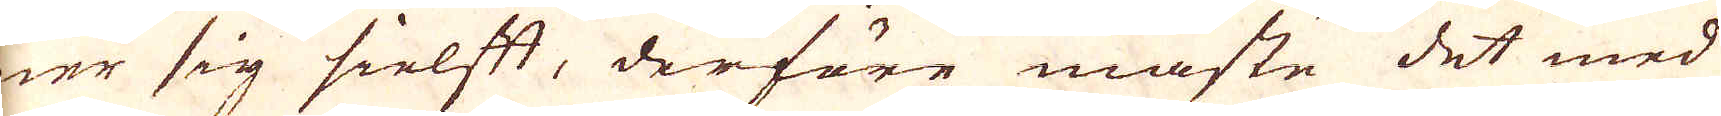mer sig sielft, derföre måste det med
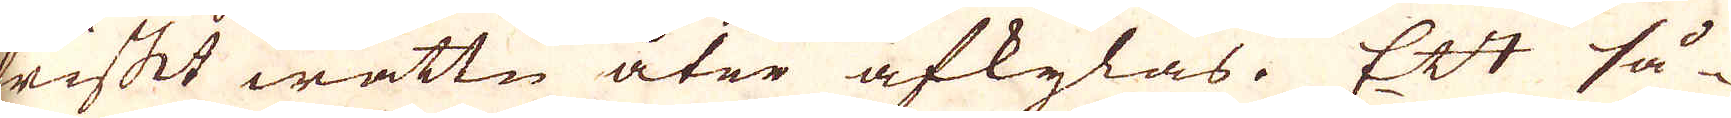friskt wattn åter afkylas. Ett så-
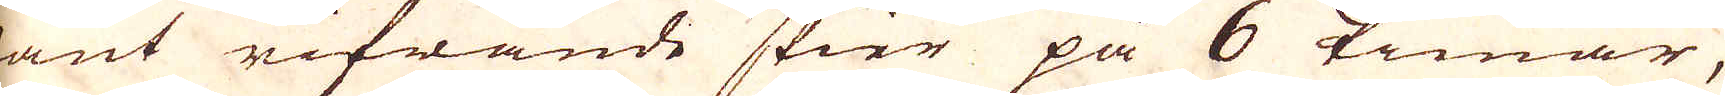dant rifwande skier på 6 timar,
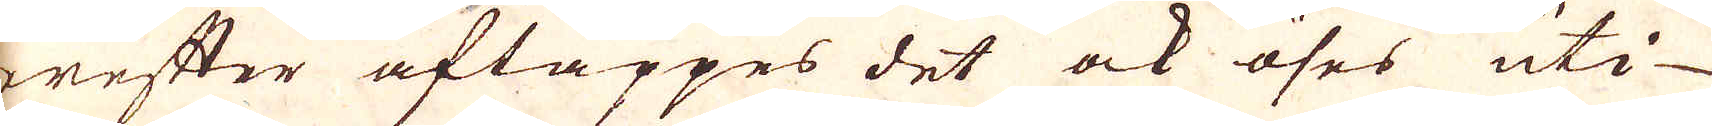derefter aftappes det ock öses uti
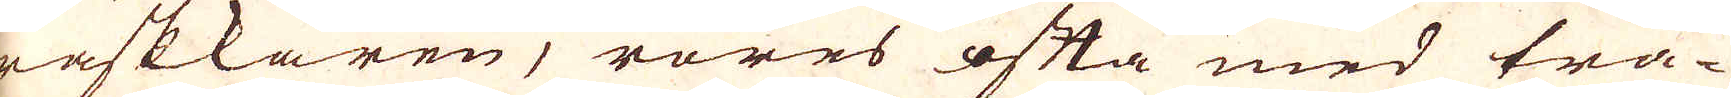waskkaren, röres ofta med trä-
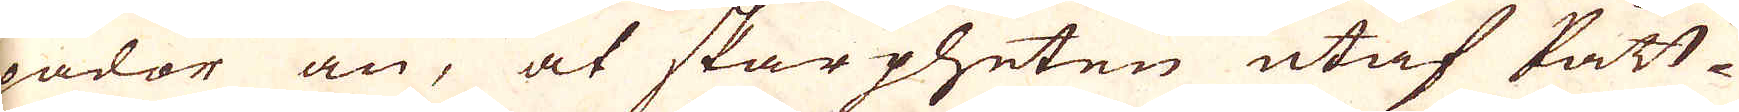spador an, at skarpheten utaf Pått-
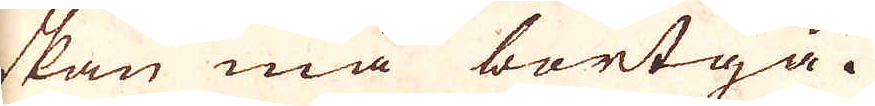askan må bortgå.
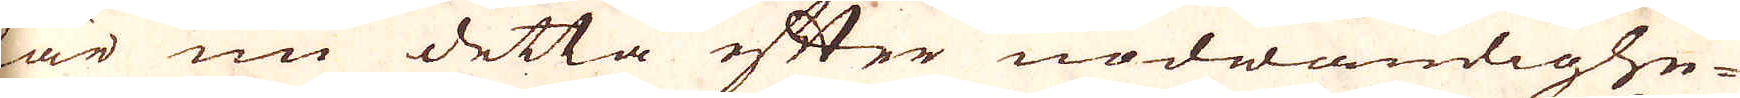När nu detta efter nödwänlighe-
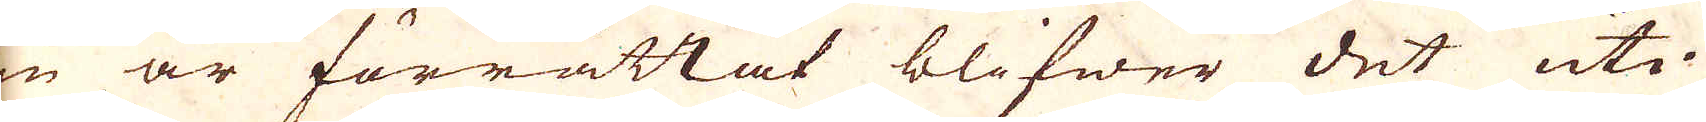ten är förrättat blifwer det uti
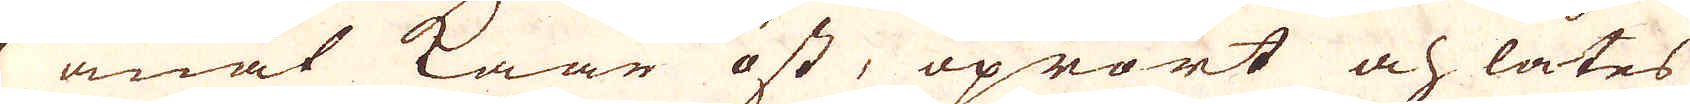et anat kaar öst, oprört och låtes
